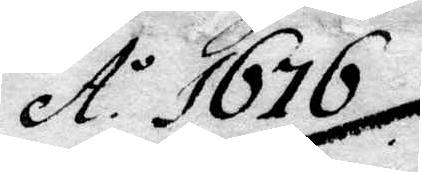Ao 1676.
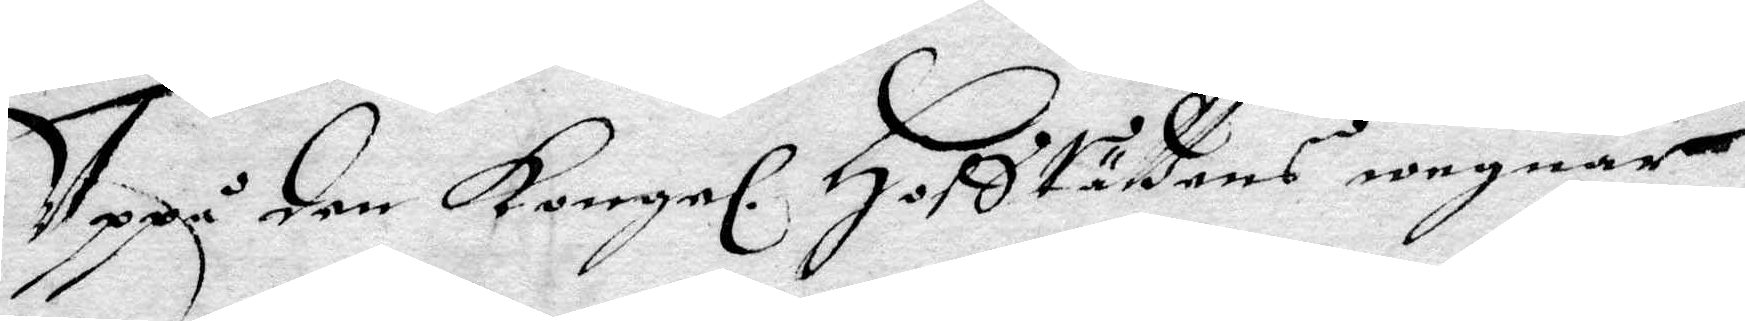Uppå den Kongel: Hofsrättens wegnar
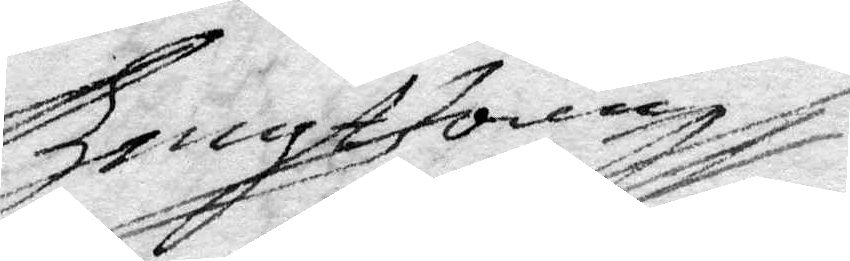Bengt Joen
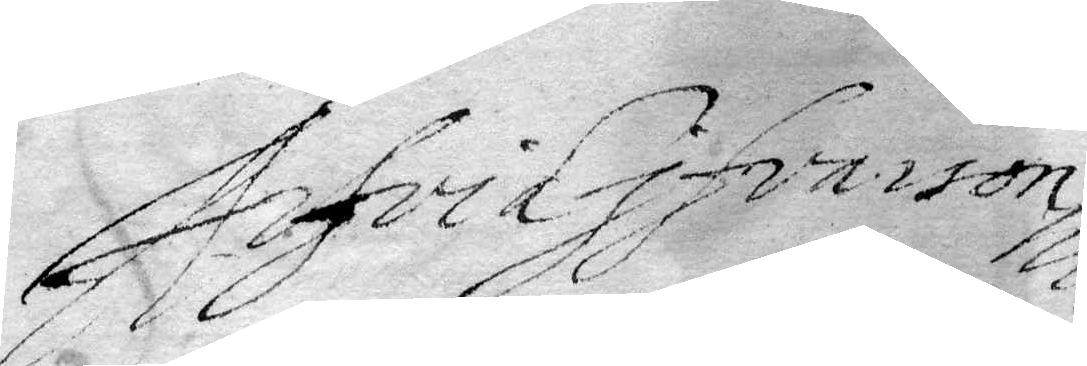Arfvid Ifvarson
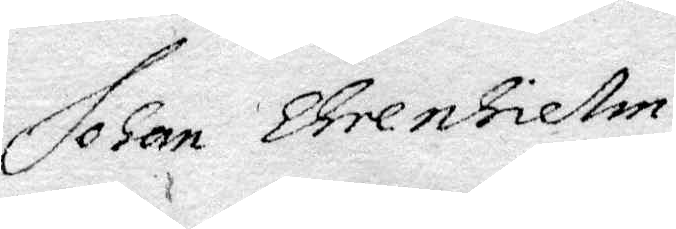Johan Ehrenhielm
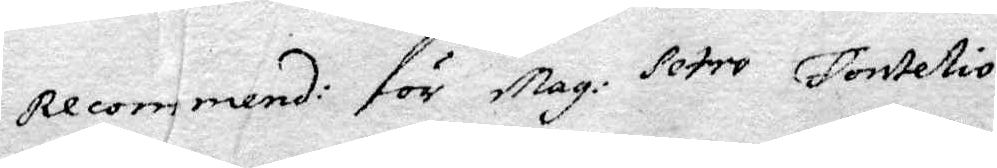Recommend: för mag: Petro Fontelio.
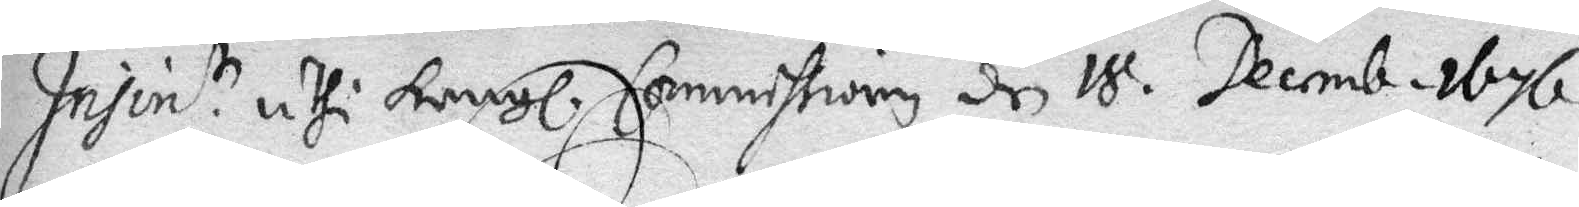Insen. uthi Kongl. Commissionen den 18 Decemb. 1676.
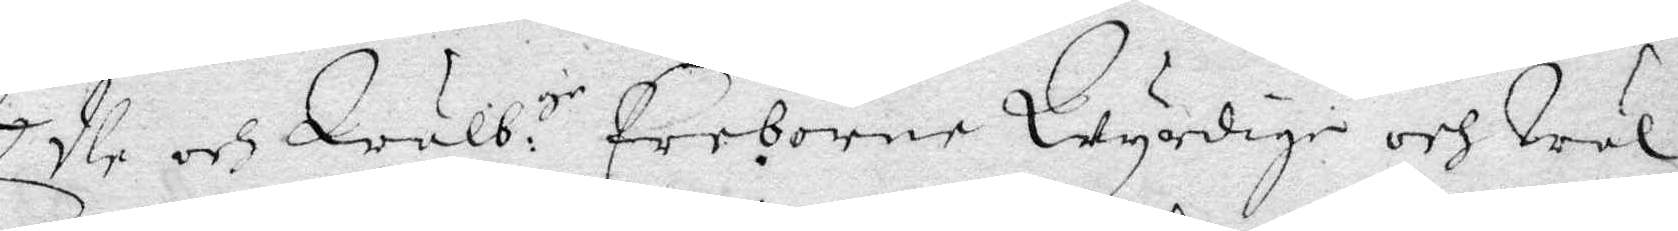Edle och Wälb: gr Ereborne Wyrdige och Wäl¬
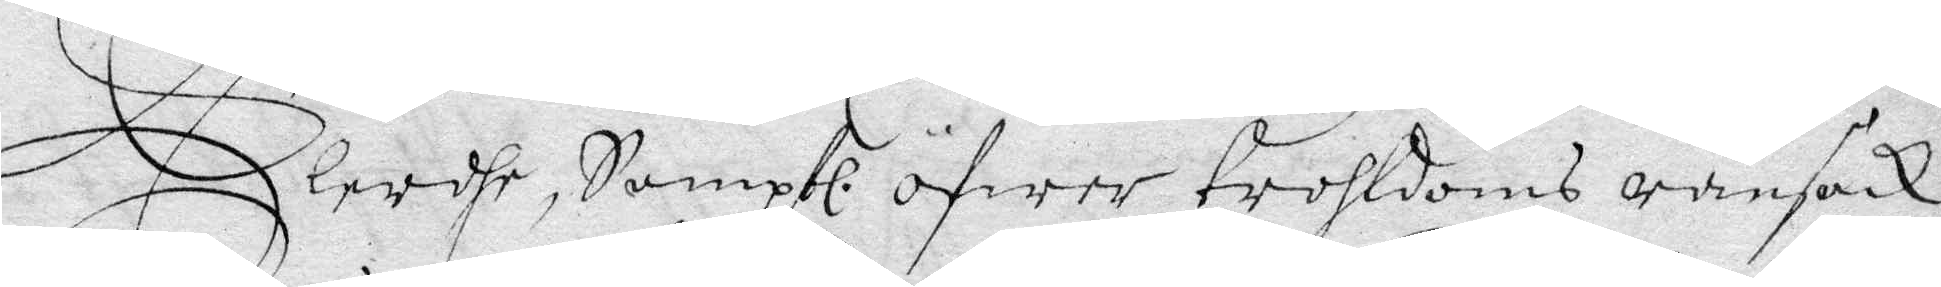lerdhe, Samptl. öfwer trohldoms ransak¬
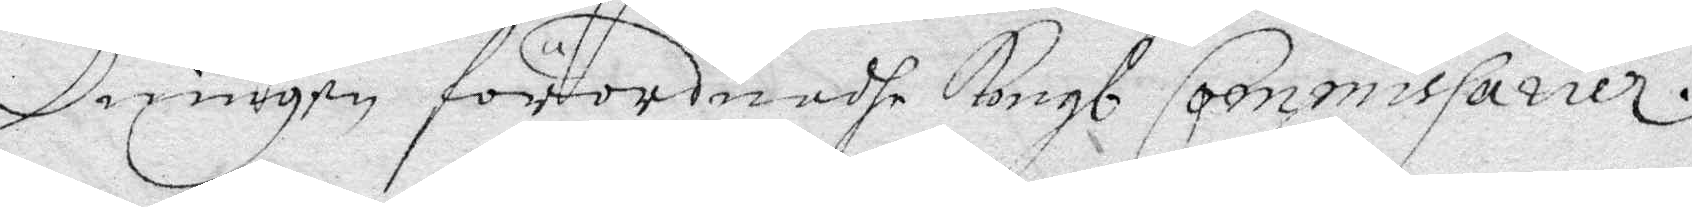ninen förordnadhe Kongl Commissarier.
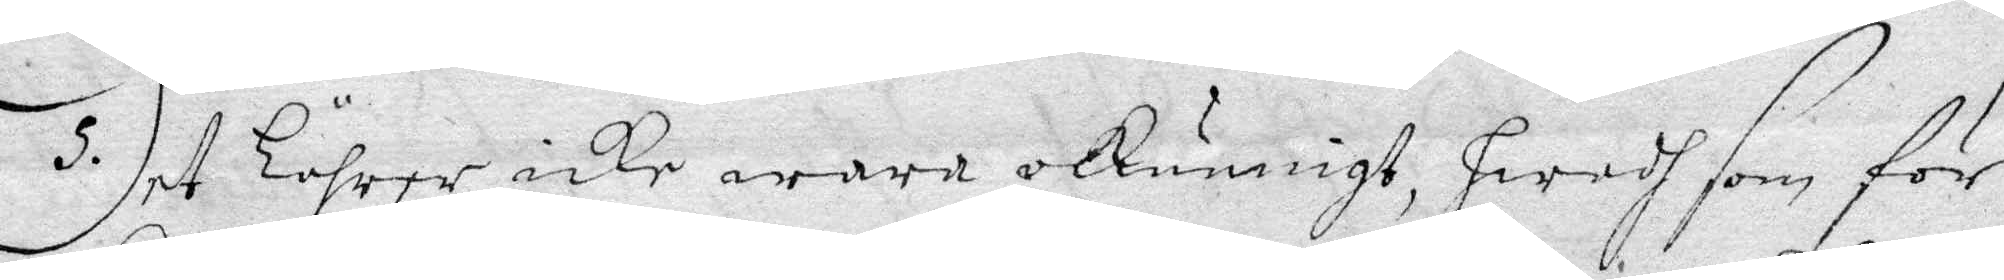det lährer icke wara okunnigt, hwadh som för
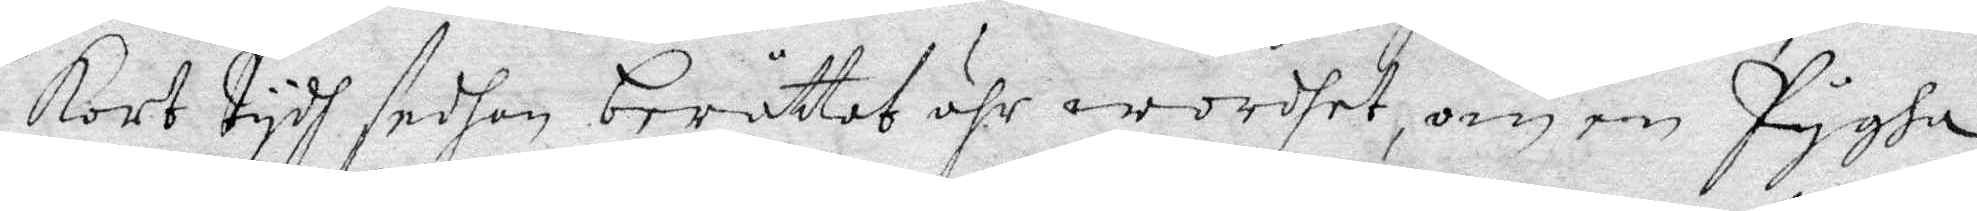kort tydh sedan berättat ähr wordhet, om en pygha
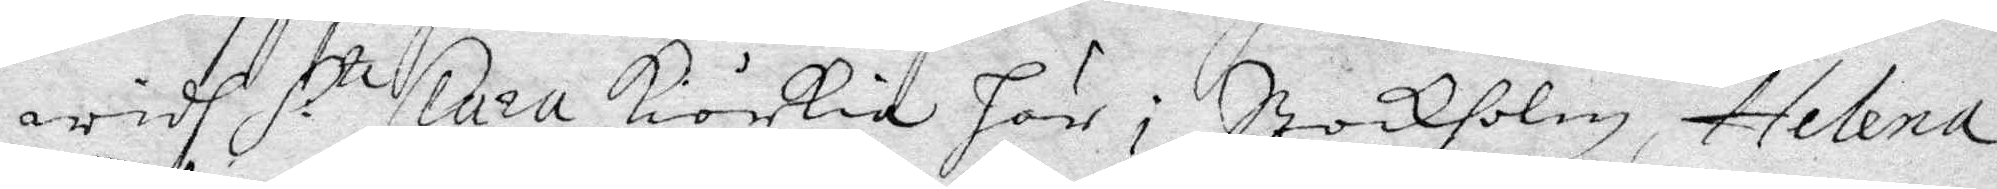widh S.t Clara Kiörkia här i Stockholm, Helena
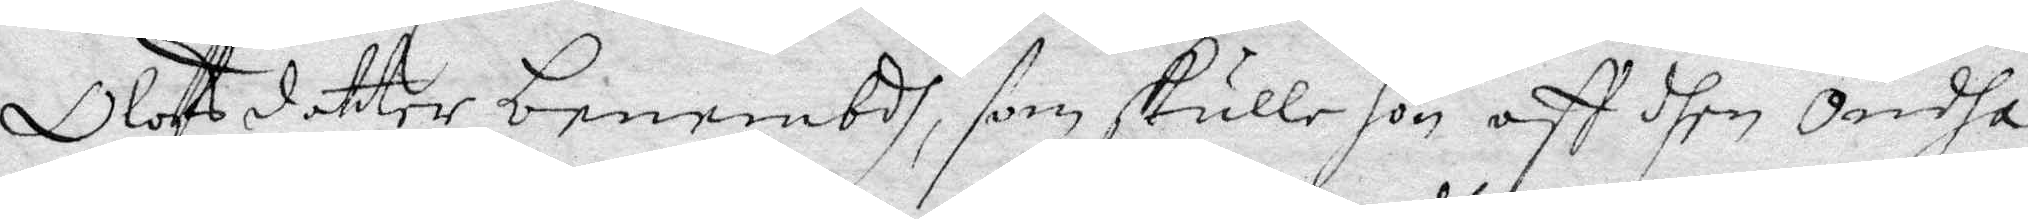Olofsdotter benembdh, som skulle hon aff dhen Ondha
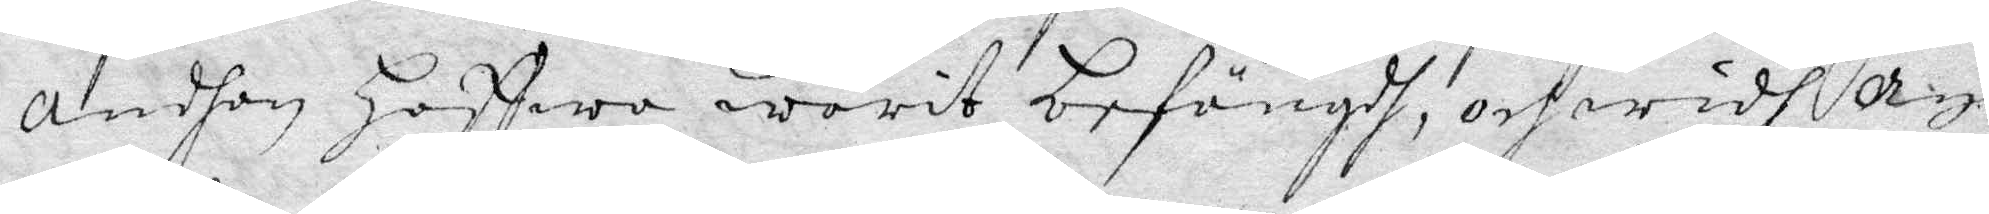andhan Haffwa warit befängdh, och widh dyr
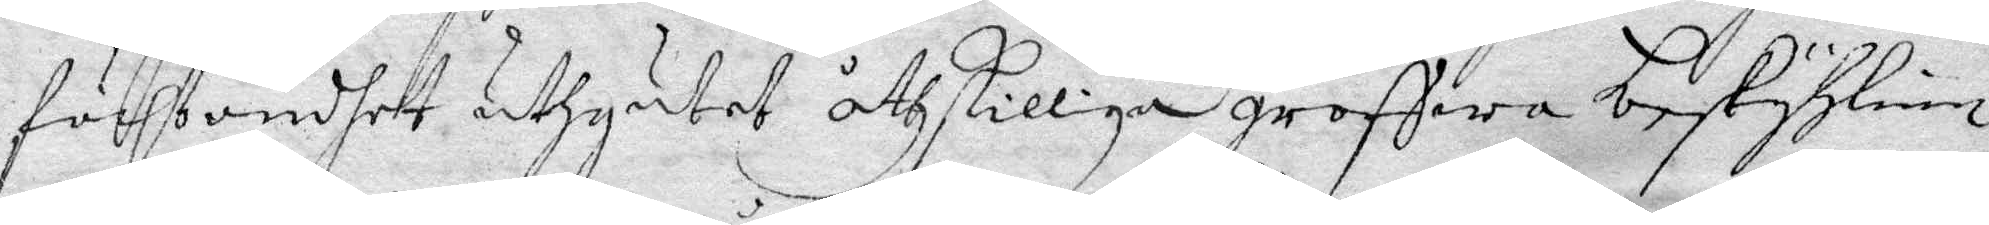först ondhet utgutet åthskilliga grofwa beskyhlnin¬
